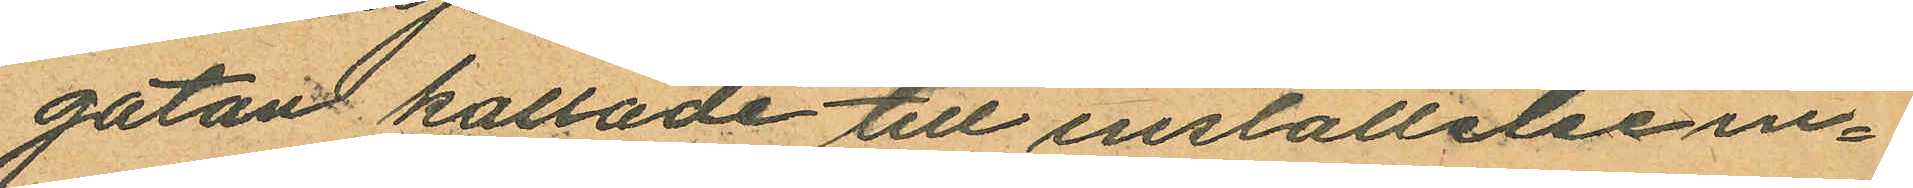gatan kallade till inställelse in¬
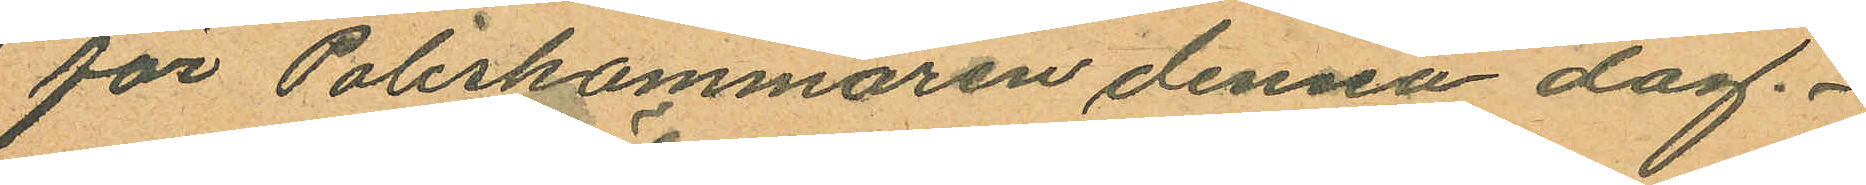för Poliskammaren denna dag.
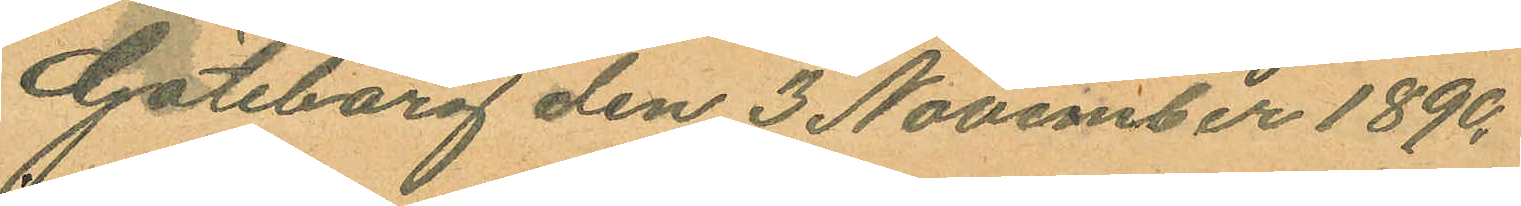Göteborg den 3 November 1890.
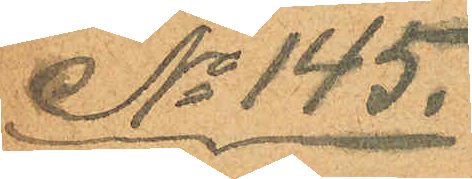No 145.
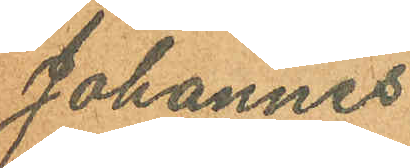Johannes
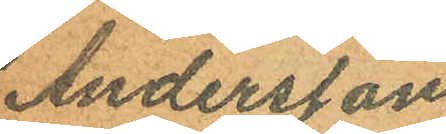Andersson.
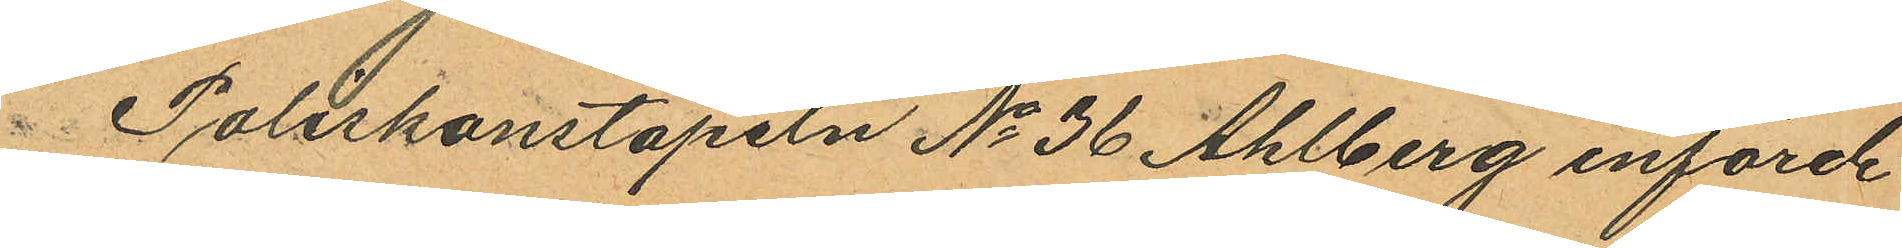Poliskonstapeln No 36 Ahlberg införde
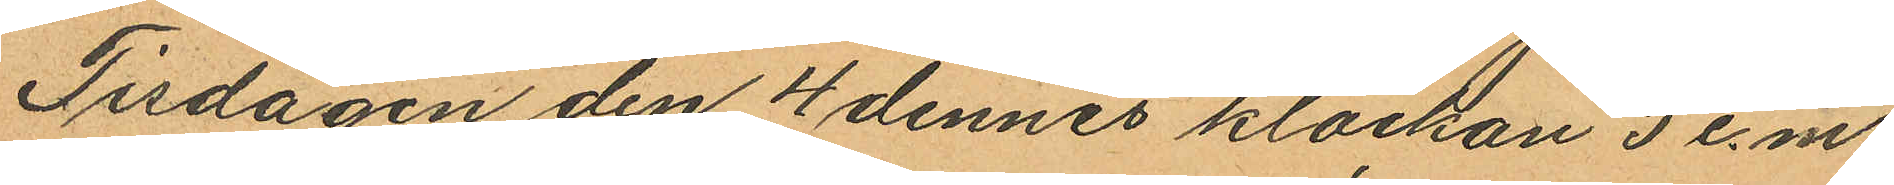Tisdagen den 4 dennes klockan 5 e.m.
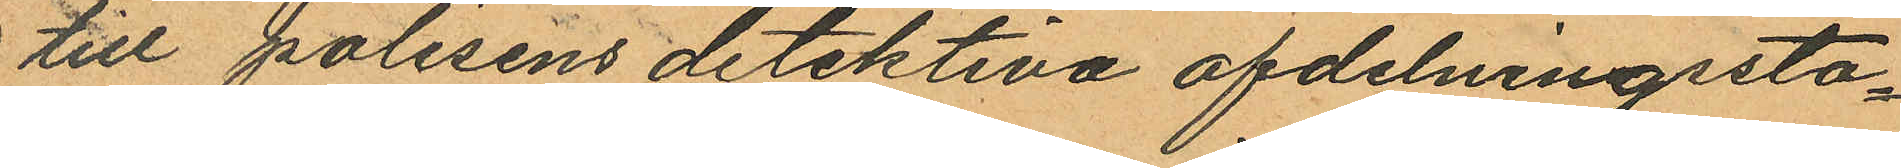till polisens detektiva afdelningssta¬
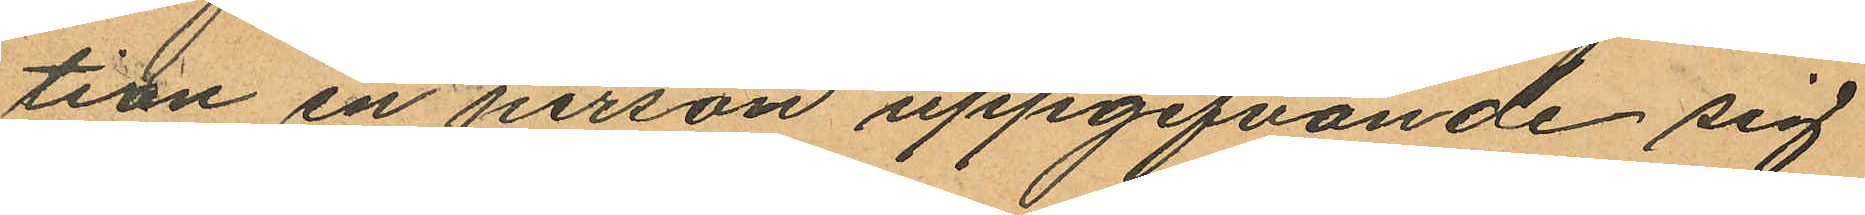tion en person uppgifvande sig
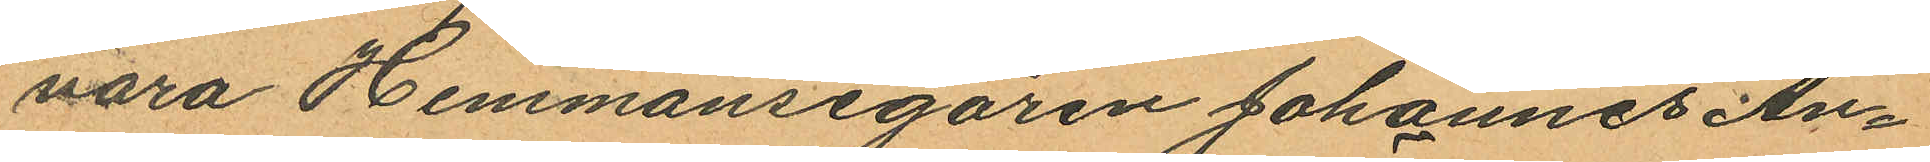vara Hemmansegaren Johannes An¬
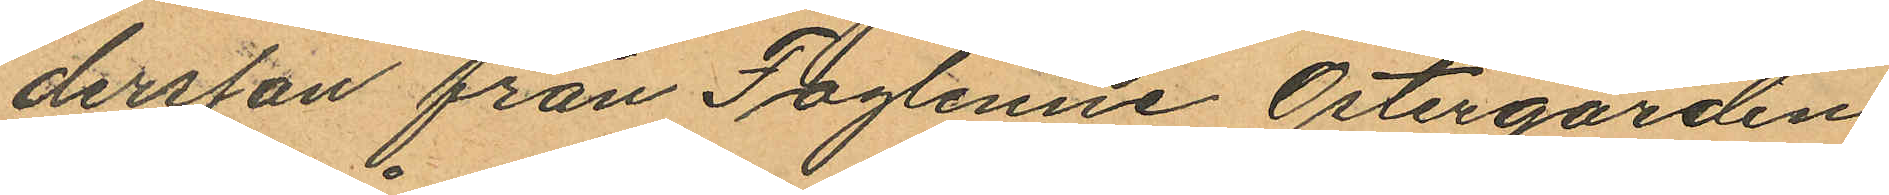dersson från Faglenne Östergården
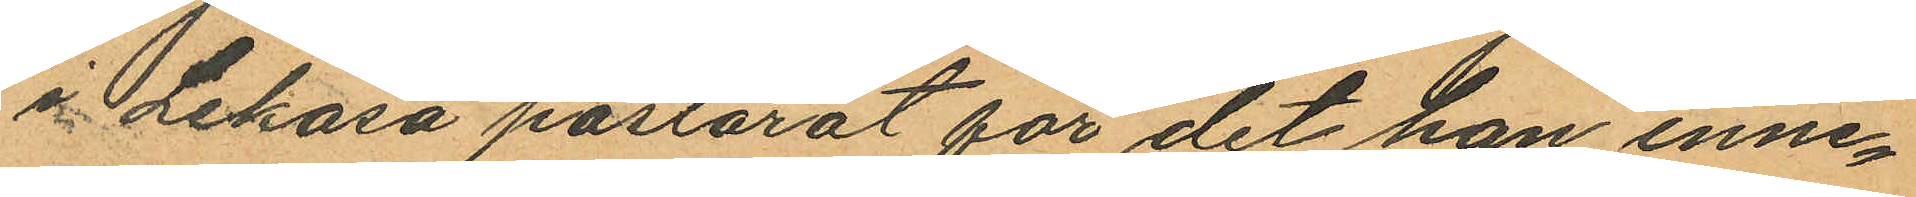å Lekåsa pastorat för det han inne¬
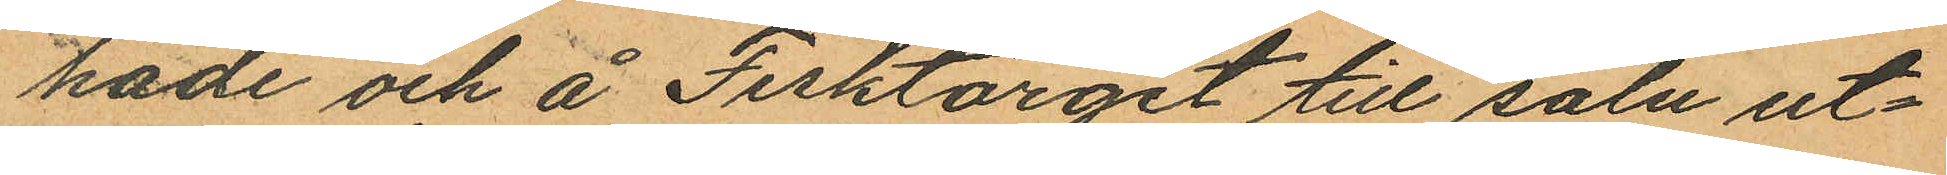hade och å Fisktorget till salu ut¬
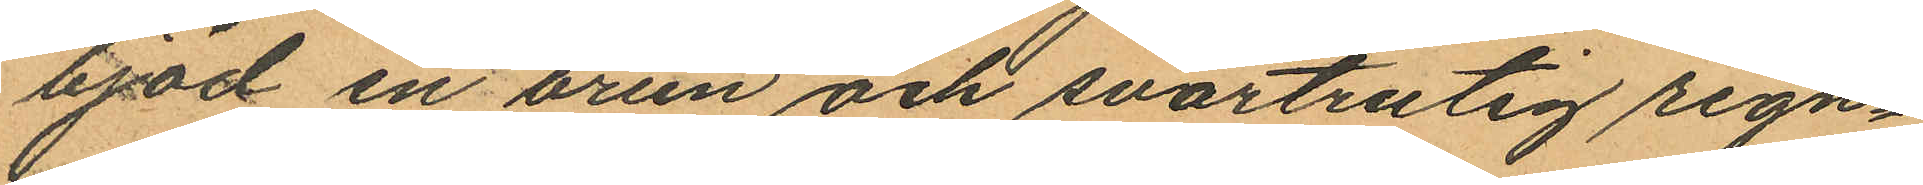bjöd en brun och svartrutig regn¬
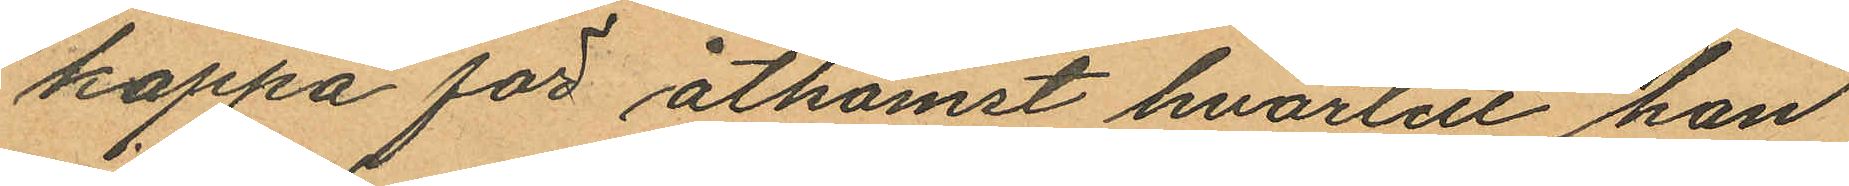kappa för åtkomst hvartill han
